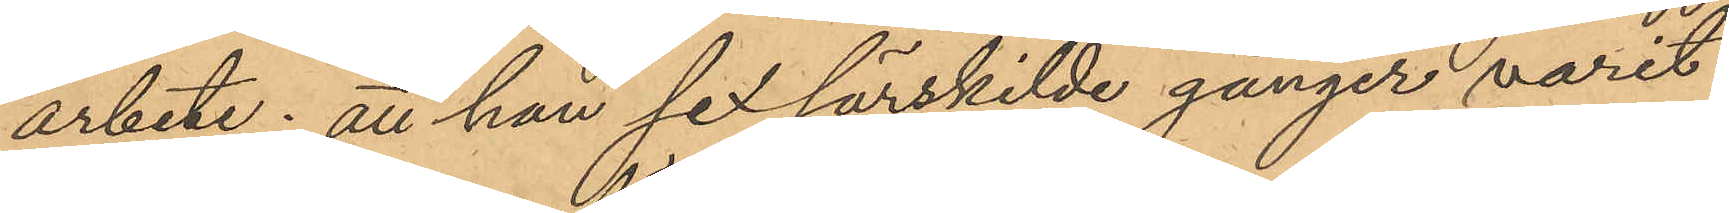arbete; att han sex särskilde gånger varit
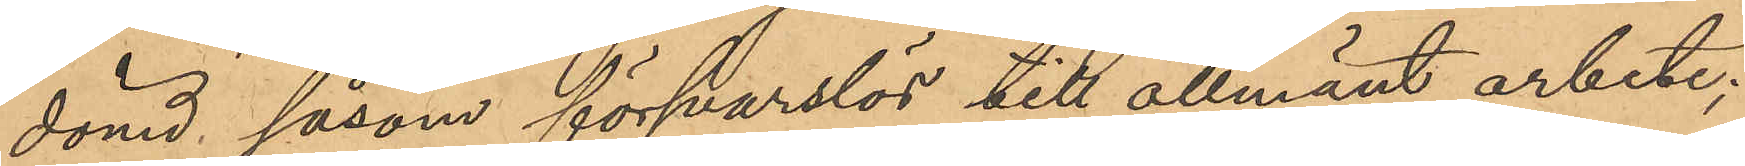dömd såsom försvarslös till allmänt arbete;
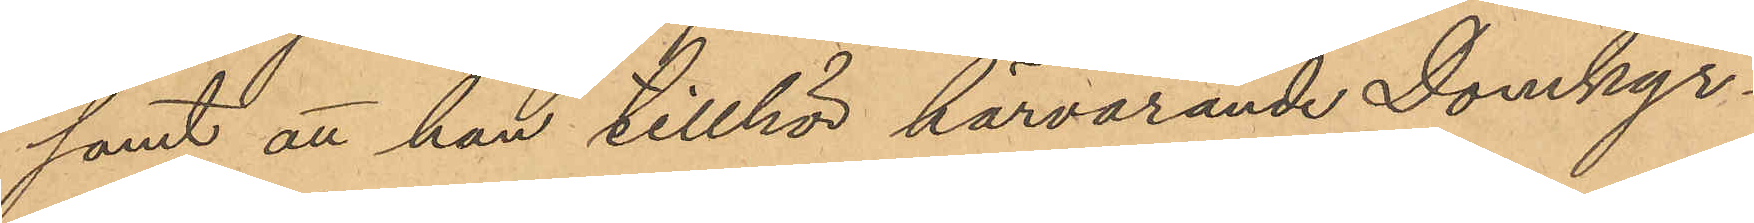samt att han tillhör härvarande Domkyr¬
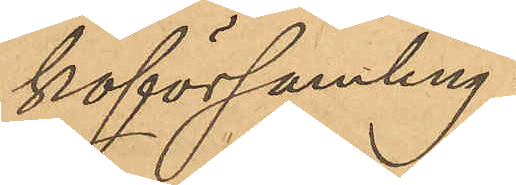koförsamling.
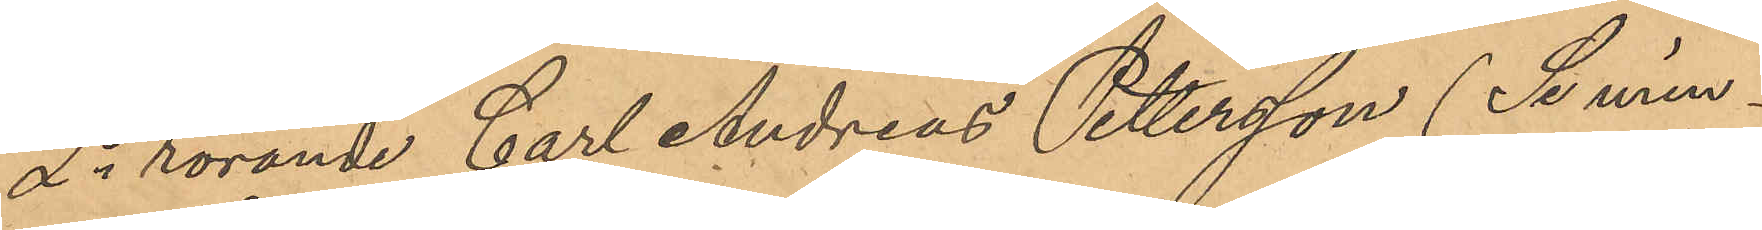2o rörande Carl Andreas Pettersson (Se min¬
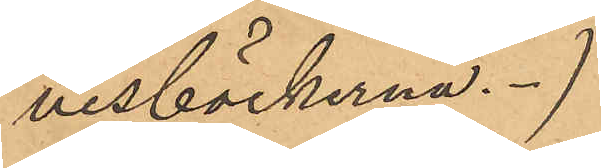nesböckerna.)
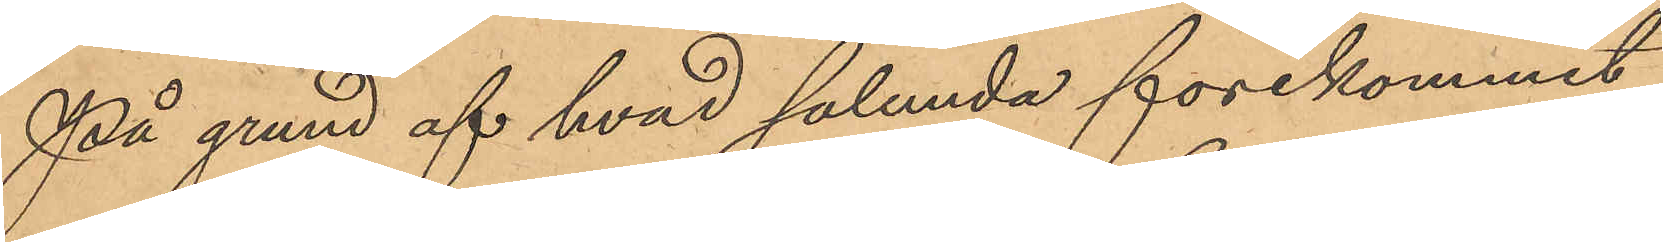På grund af hvad sålunda förekommit
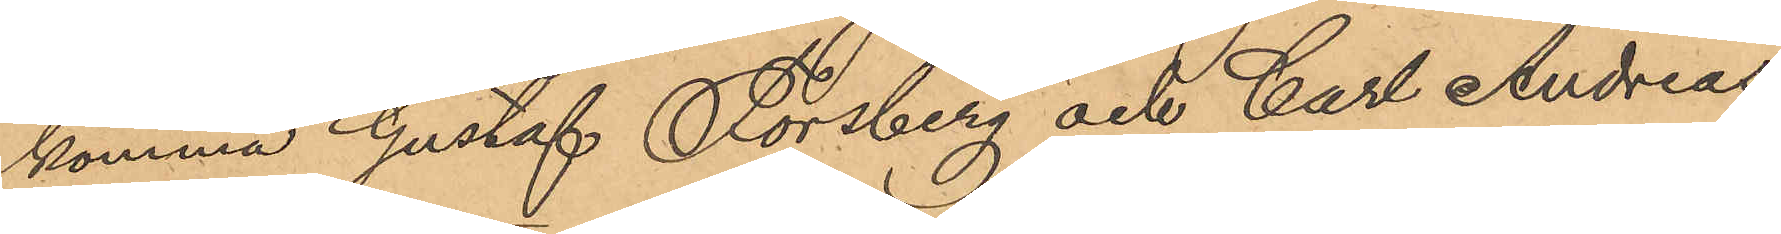komma Gustaf Forsberg och Carl Andreas
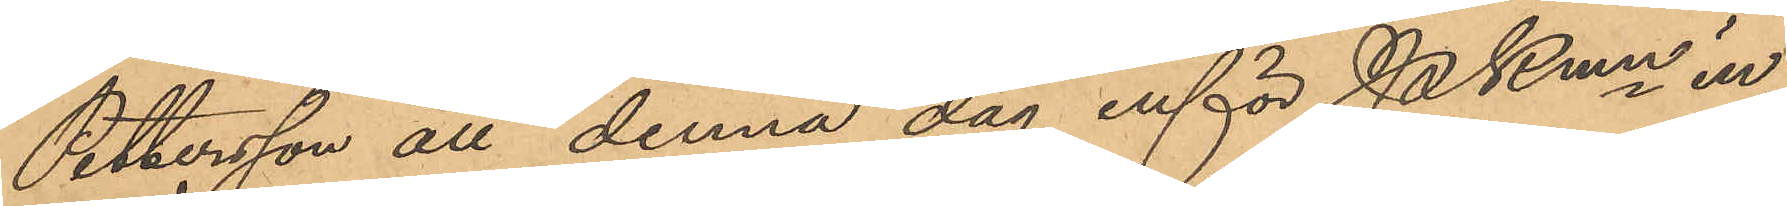Pettersson att denna dag inför PKmn in¬
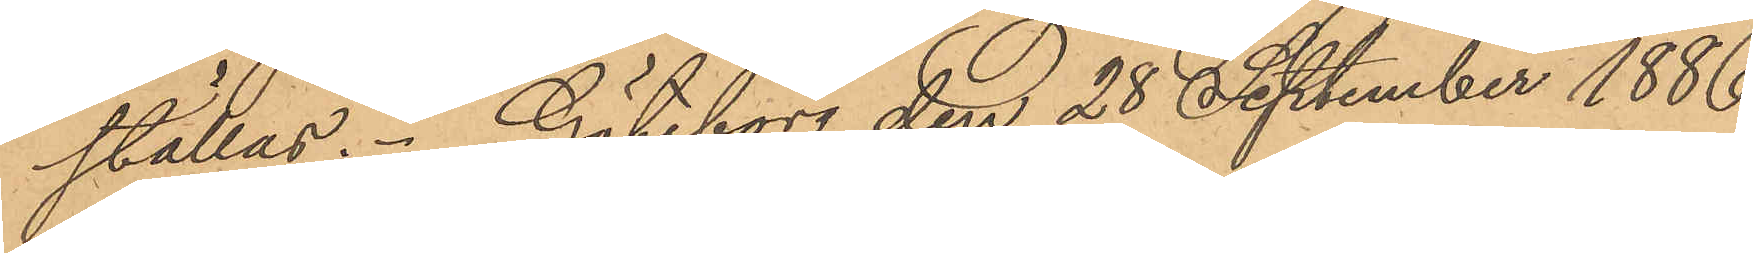ställas. Göteborg den 28 September 1886.
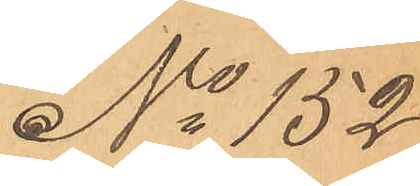No 152
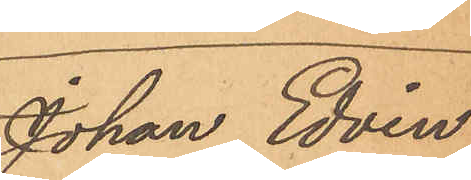Johan Edvin
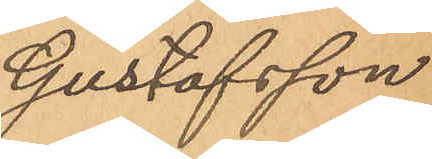Gustafsson
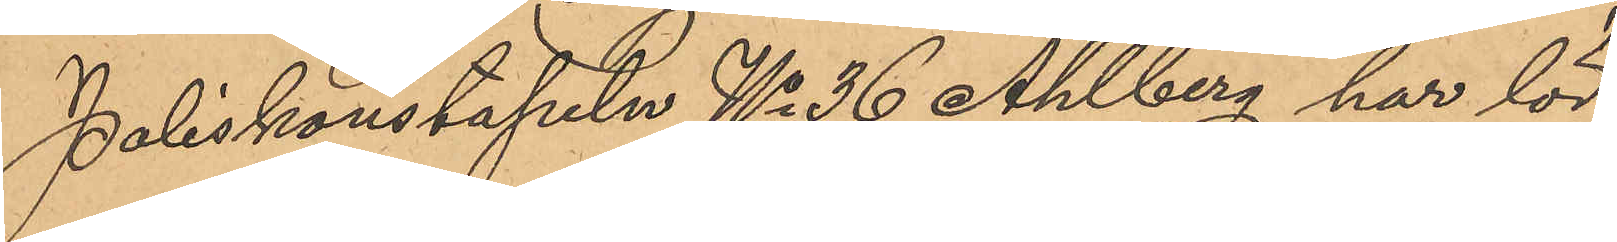Poliskonstapeln No 36 Ahlberg har lör¬
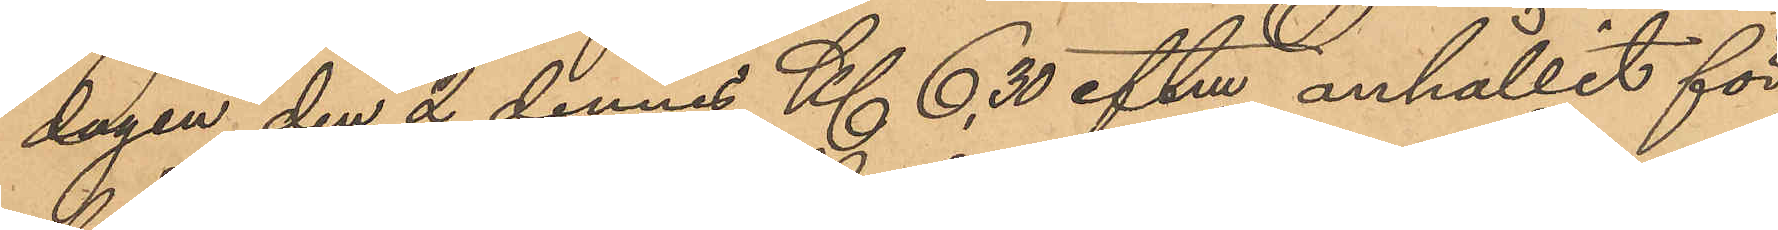dagen den 2 dennes Kl. 6,30 eftm anhållit för
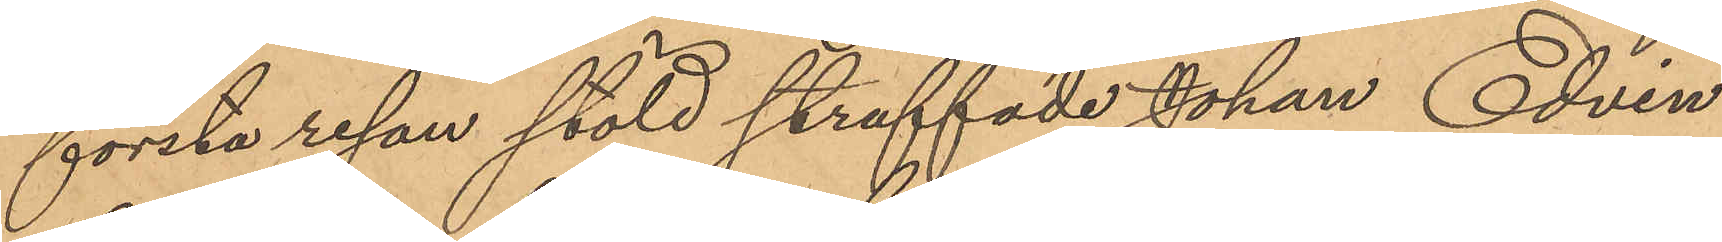första resan stöld straffade Johan Edvin
